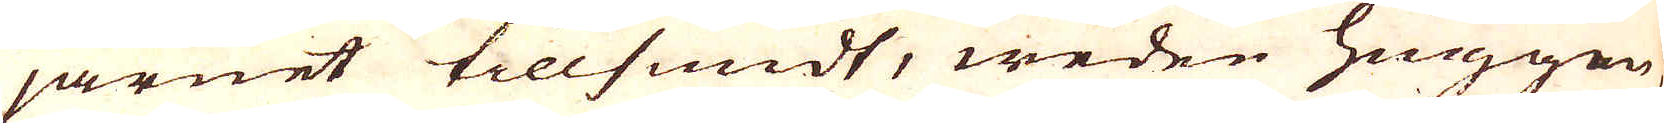järnet tillsmidt, weden huggen
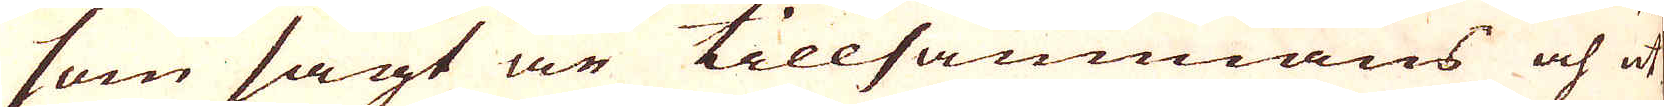som sagt är tillsammans och ut-
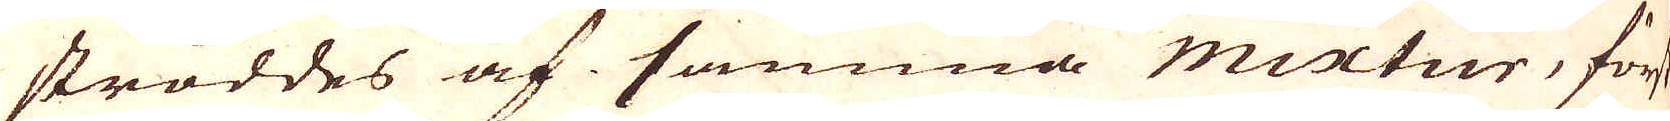ströddes af samma mixtur, först
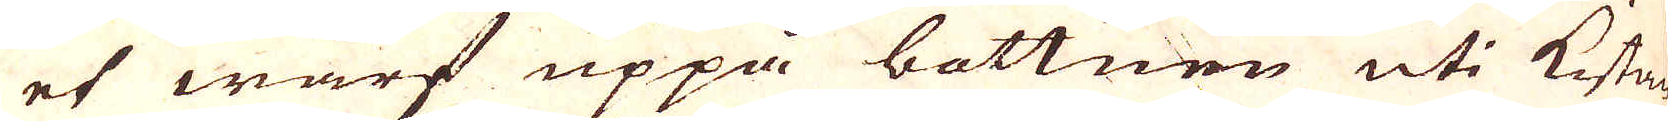et warf uppå bottnen uti Kistan
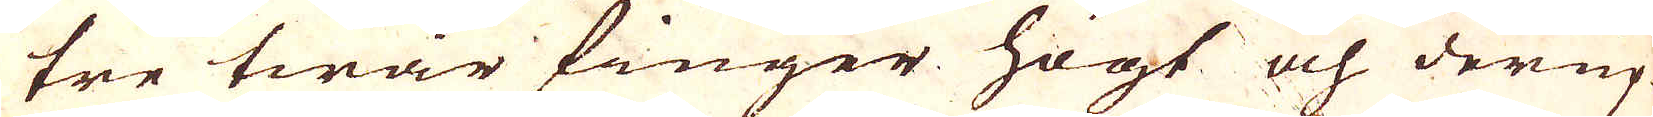tre twär finger högt och derup-
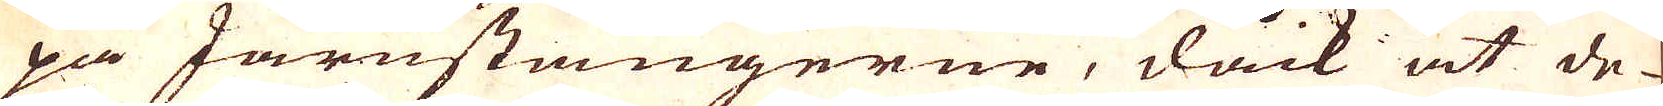på Järnstängerne, dock at de
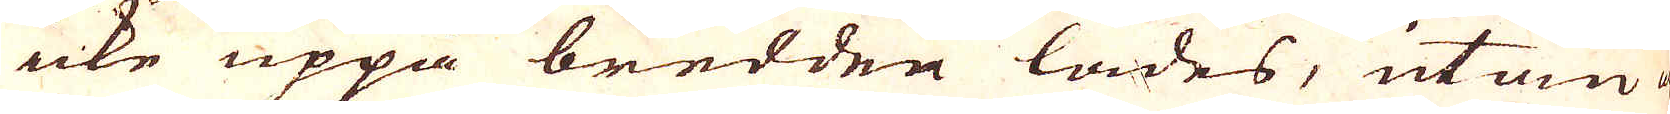icke uppå bredden lades, utan
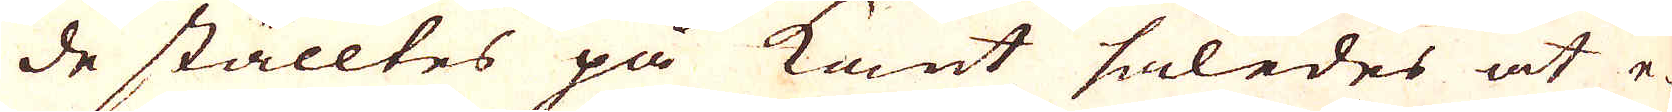de ställtes på kant således at e-
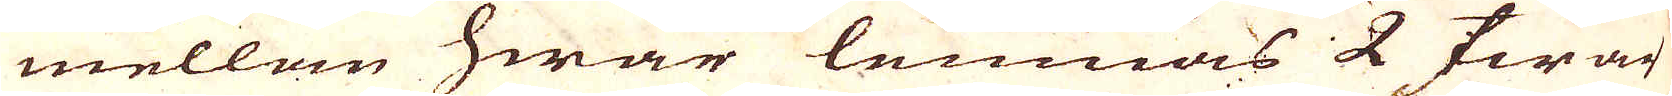mellan hwar lemnas 2 twär
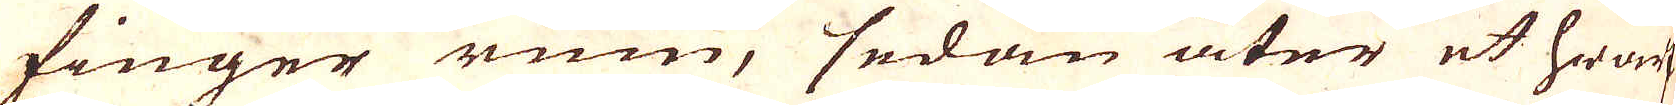finger rum, sedan åter et hwarf
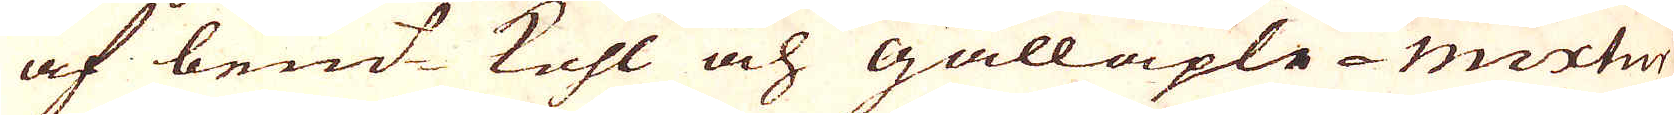af bemt kohl och galläple-mixtur
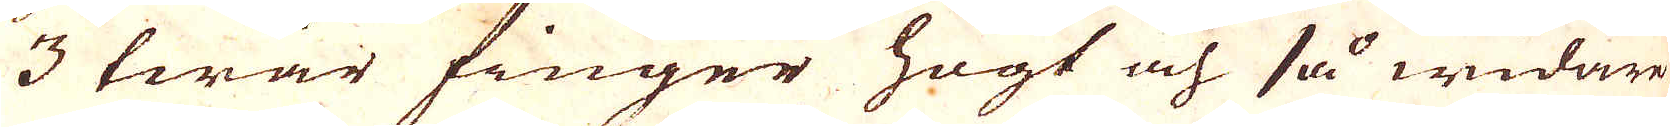3 twär finger högt och så widare
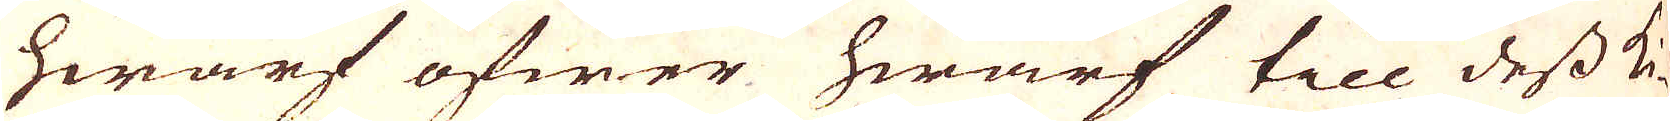hwarf öfwer hwarf till dess ki-
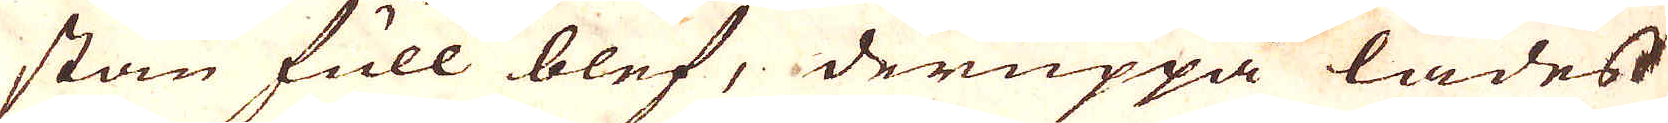stan full blef, deruppå lades
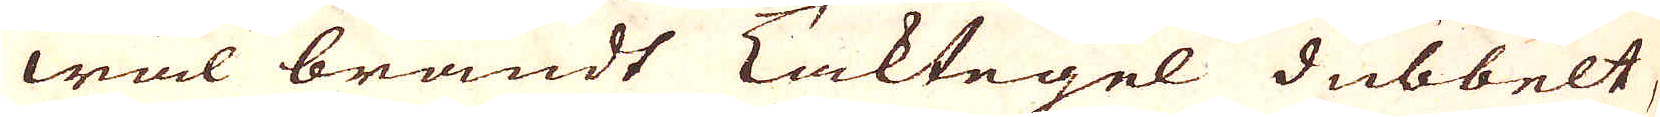wäl brandt Taktegel dubbelt,
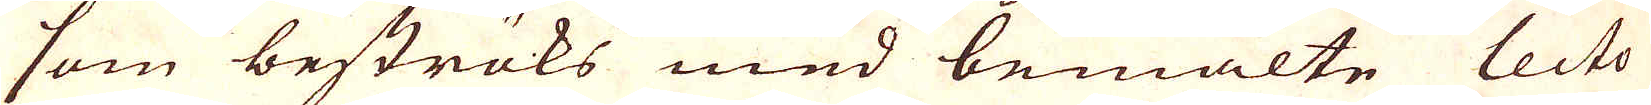som beströks med bemälte lecto
